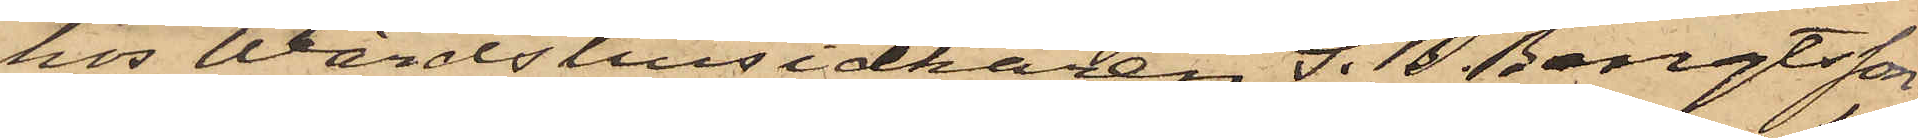hos Wärdshusidkaren S. B. Bengtsson,
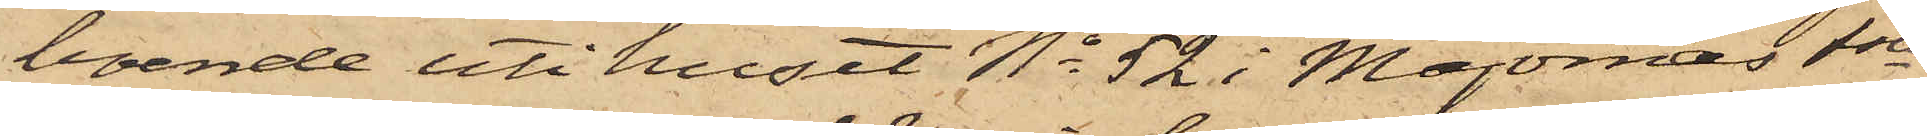boende uti huset No 52 i Majornas 1ste
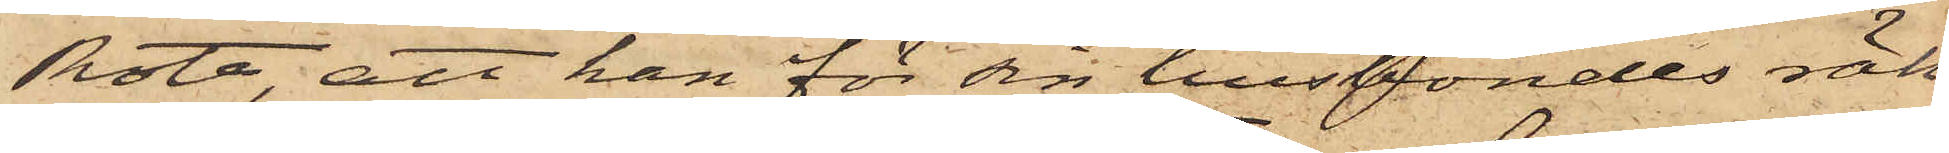Rote, att han för sin husbondes räk¬
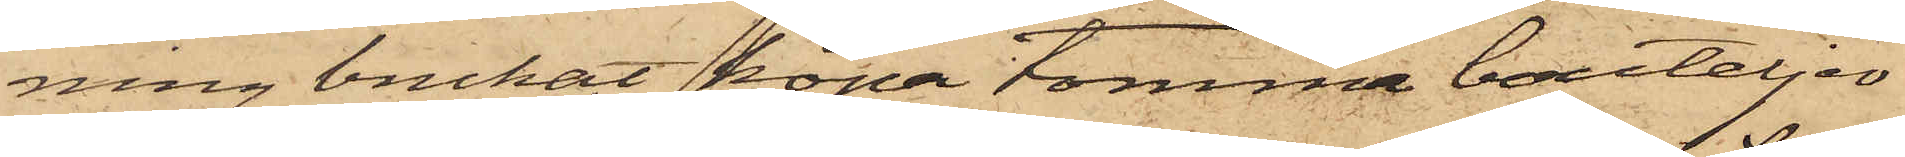ning brukat köpa tomma bouteljer
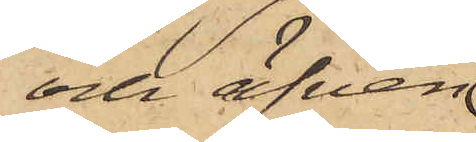och äfven
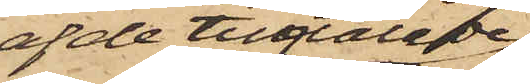af de tilltalade
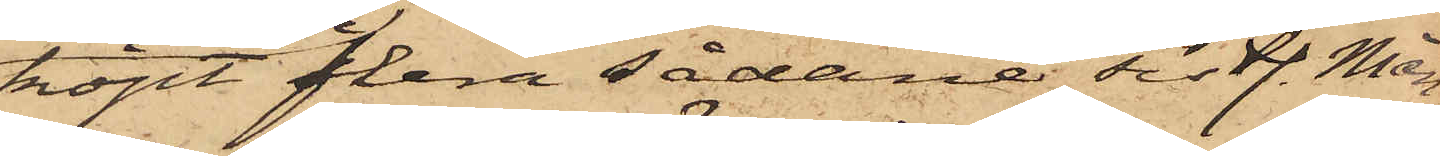köpt flera sådana sistl. Mån¬
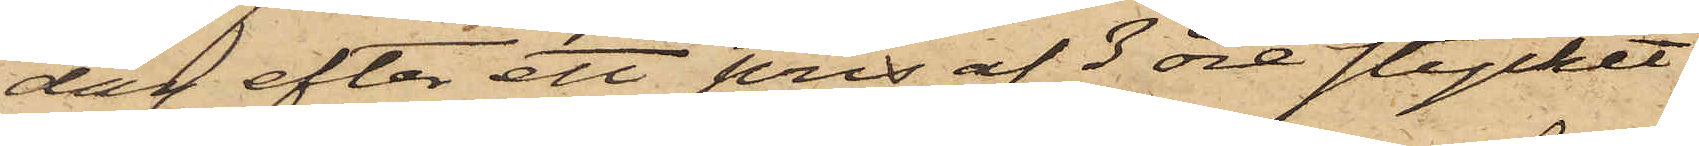dag efter ett pris af 3 öre stycket.
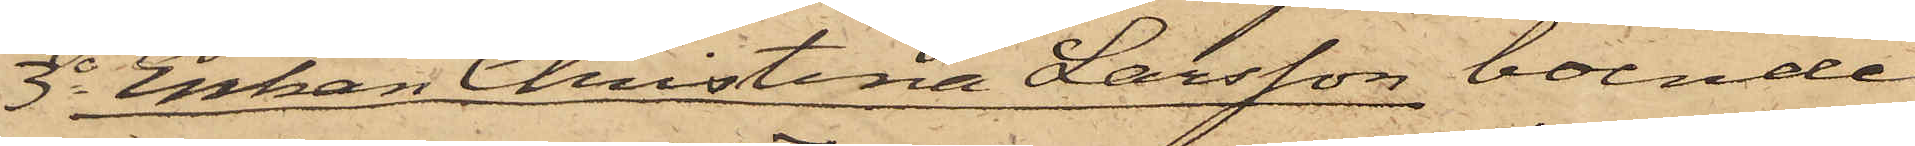3o Enkan Christina Larsson, boende
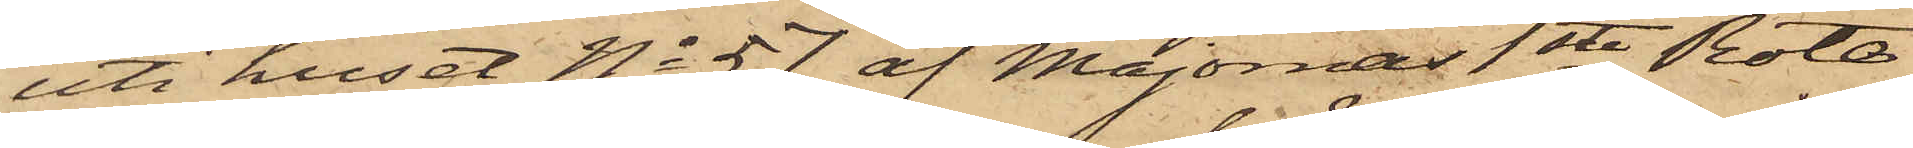uti huset No 57 af Majornas 1ste Rote
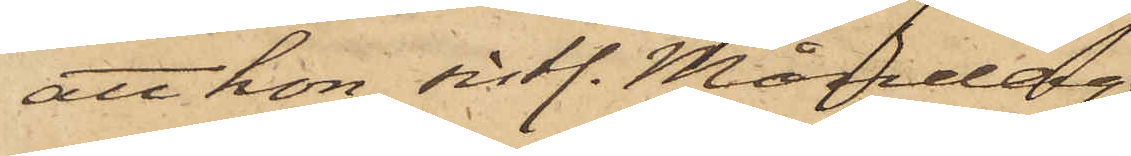att hon sistl. Måndag
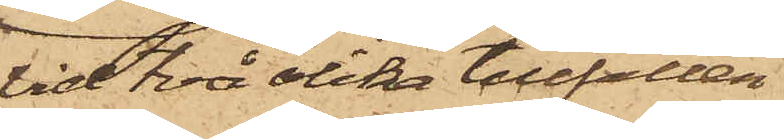vid två olika tillfällen
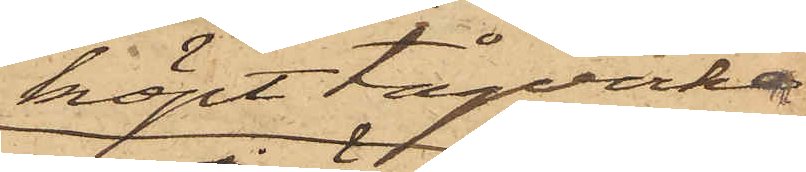köpt tågvirke
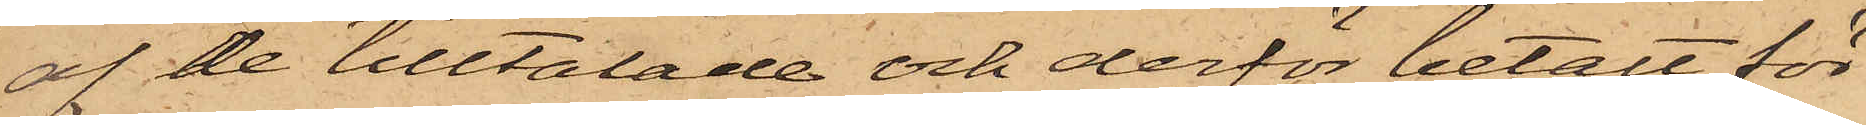af de tilltalade och derför betalt för¬
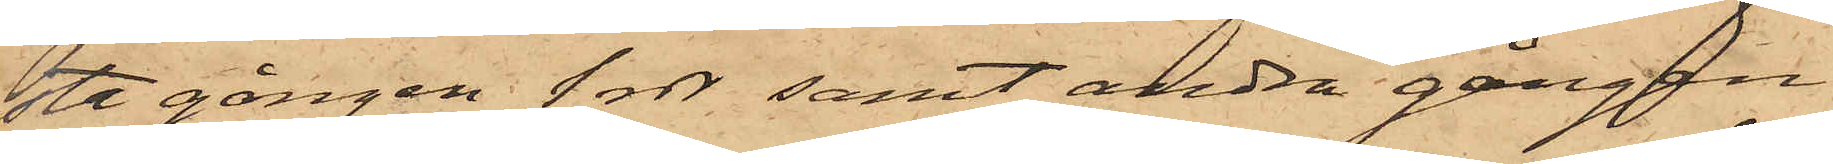sta gången 1 rdr samt andra gången
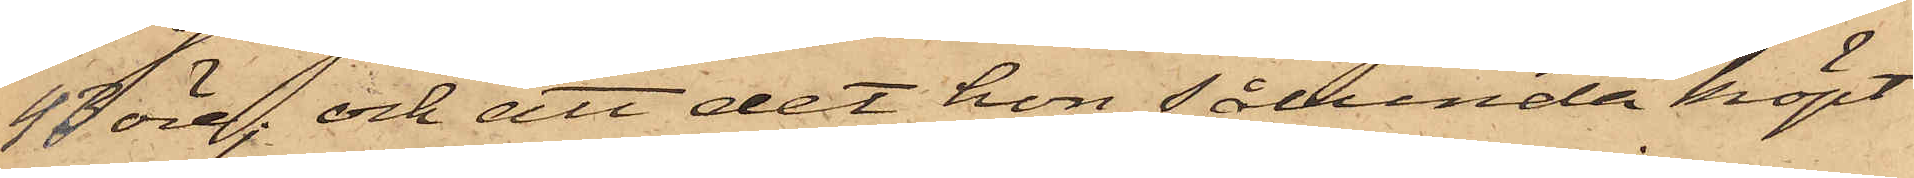43 öre; och att det hon sålunda köpt
